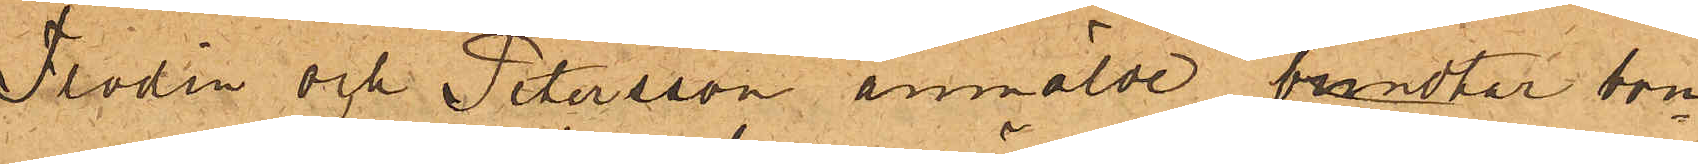Flodin och Petersson anmälde brundtar bom¬
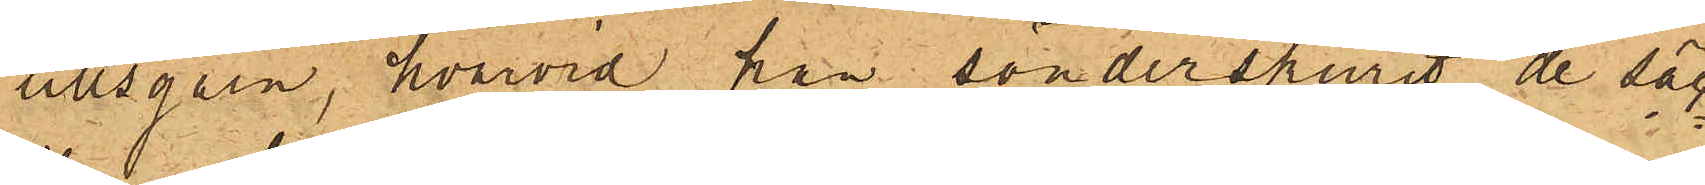ullsgarn, hvarvid han sönderskurit de säc¬
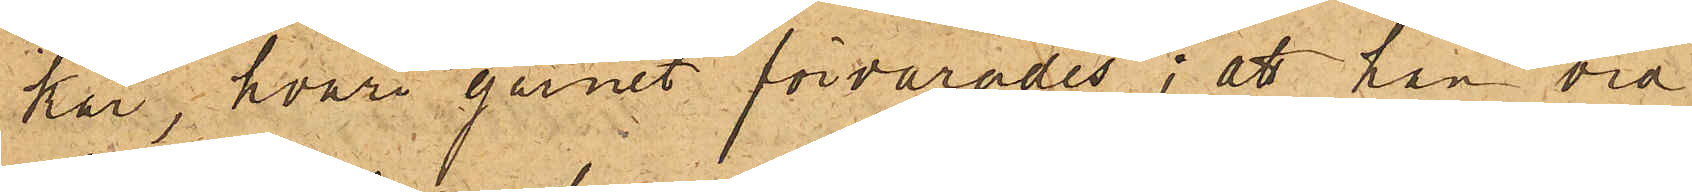kar, hvari garnet förvarades; att han vid
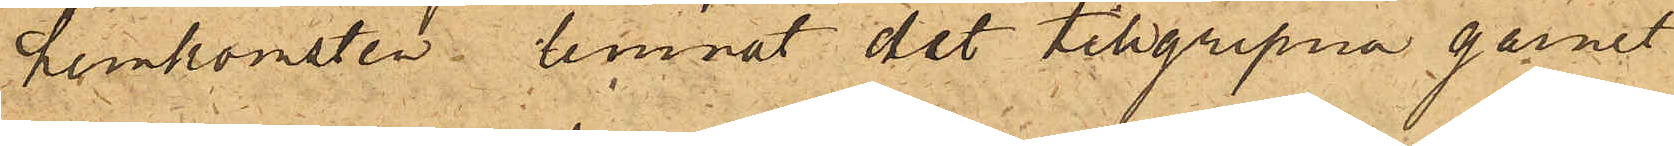hemkomsten lemnat det tillgripna garnet
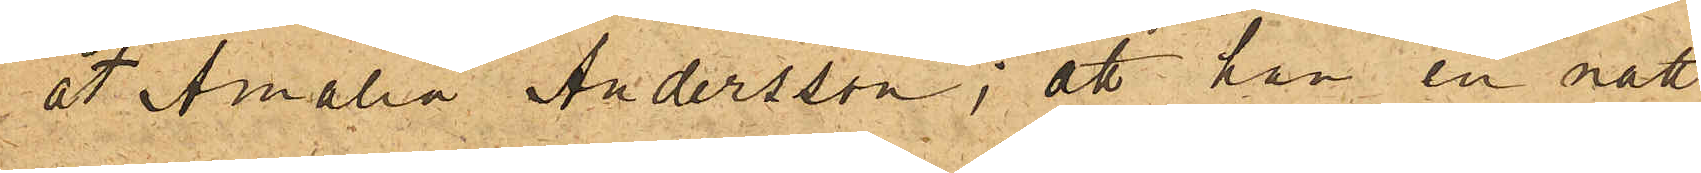åt Amalia Andersson; att han en natt
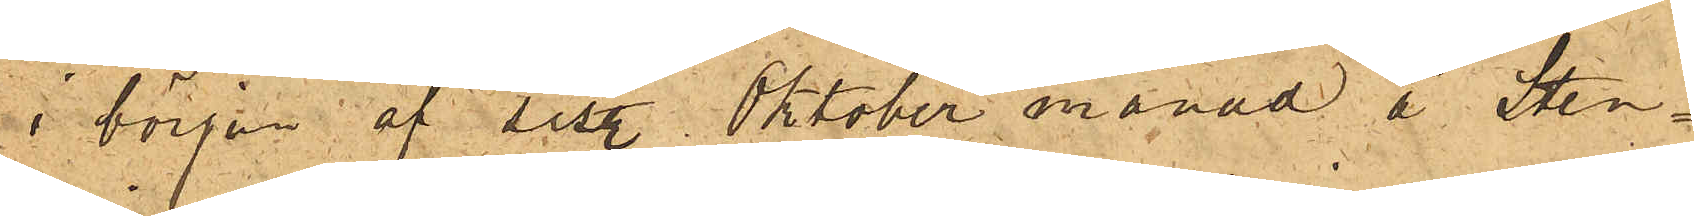i början af sist. Oktober månad å Sten¬
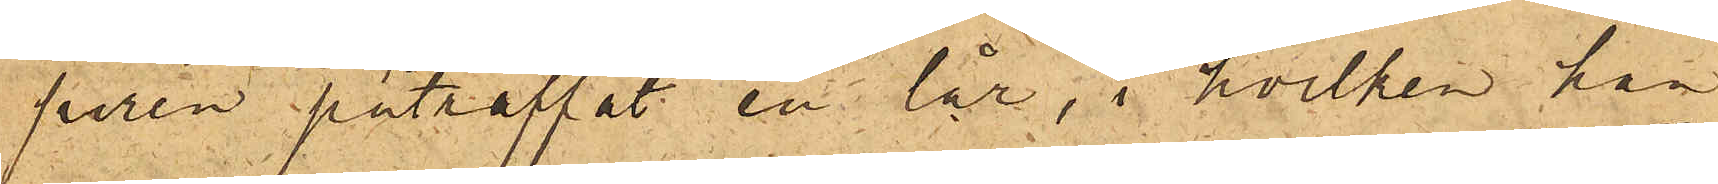piren påträffat en lår, i hvilken han
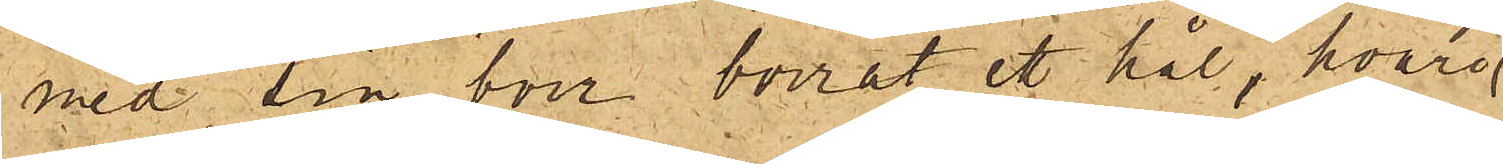med sin borr borrat ett hål, hvari¬
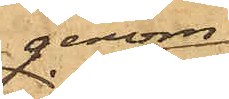genom
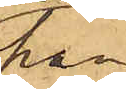han
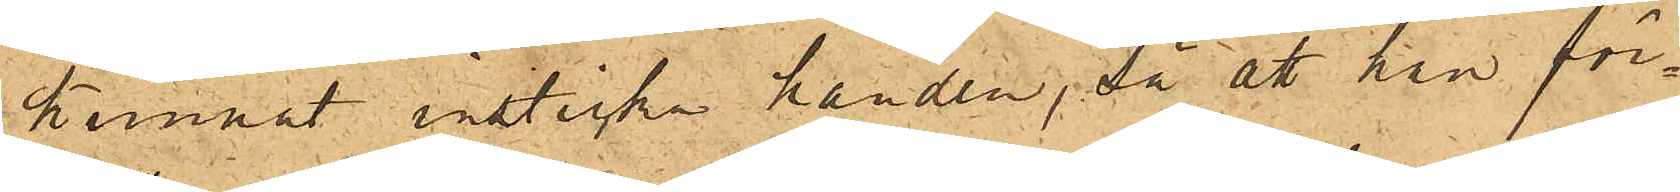kunnat insticka handen, så att han för¬
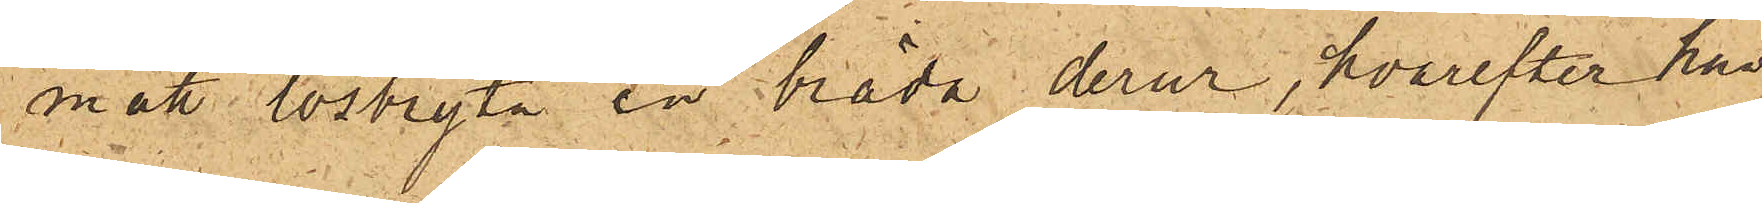mått lösbryta en bräda derur, hvarefter han
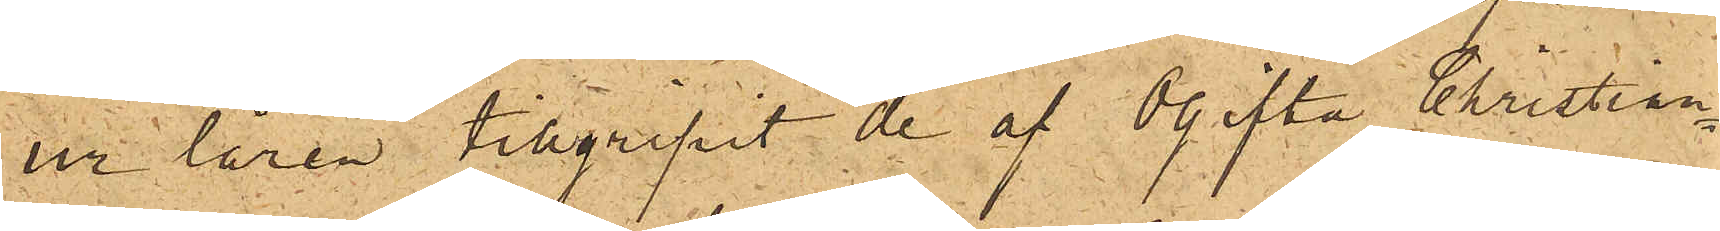ur låren tillgripit de af Ogifta Christian¬
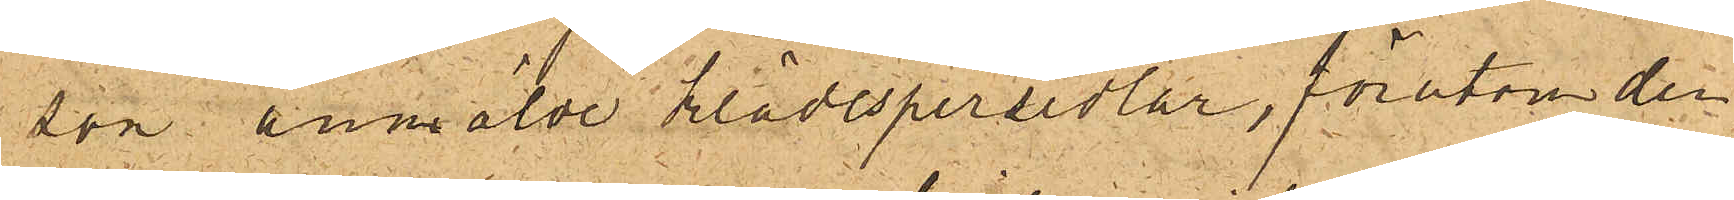son anmälde klädespersedlar, förutom den
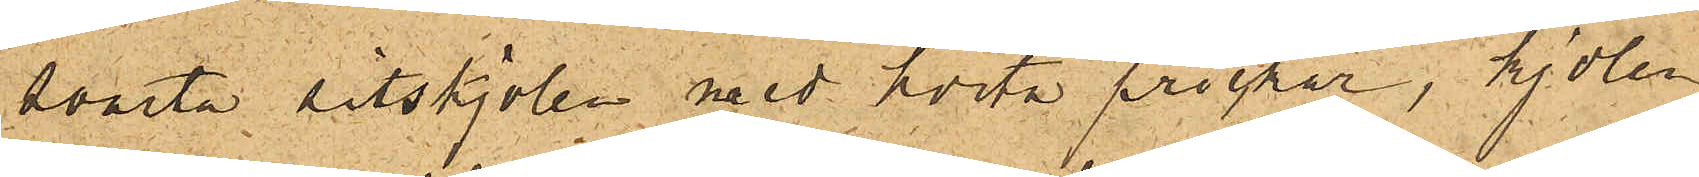svarta sitskjolen med hvita prickar, kjolen
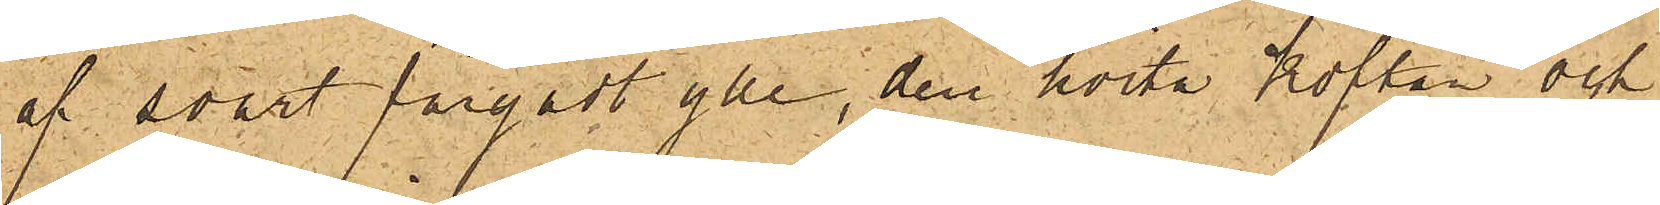af svart färgadt ylle, den hvita koftan och
